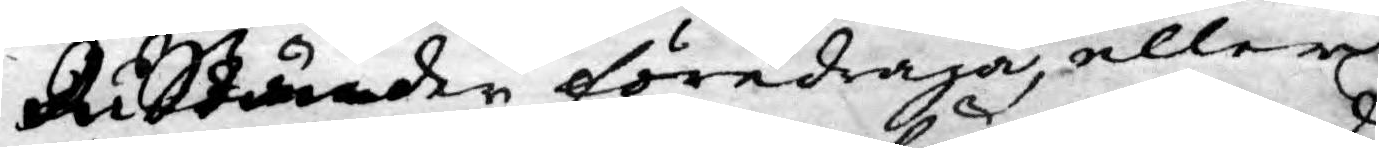Ris Ständer föredraga, eller
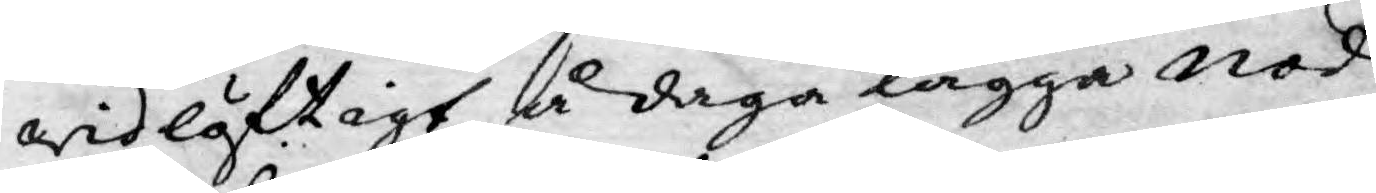widlöftigt å daga lägga nöd¬
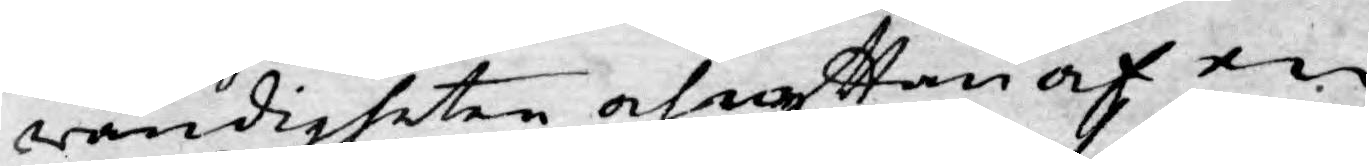wändigheten och nyttan af en
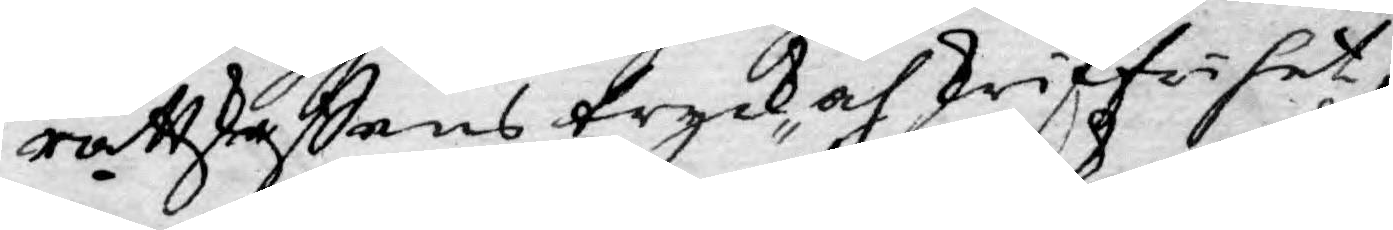rättskaffens tryck- och skriffrihet,
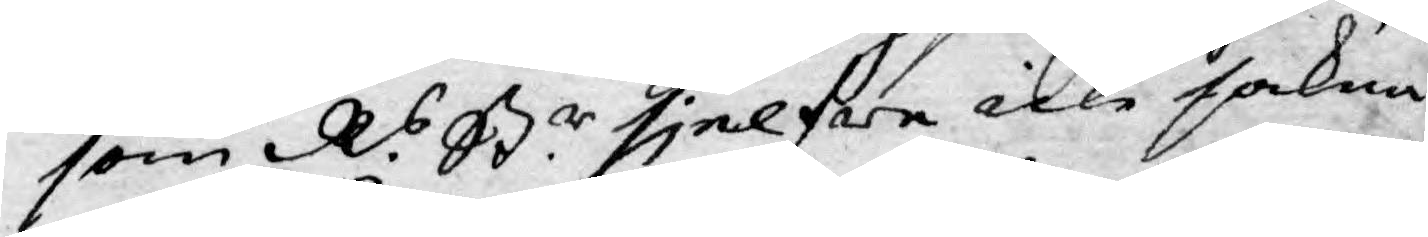som R.s St.r sjelfwe icke sakna
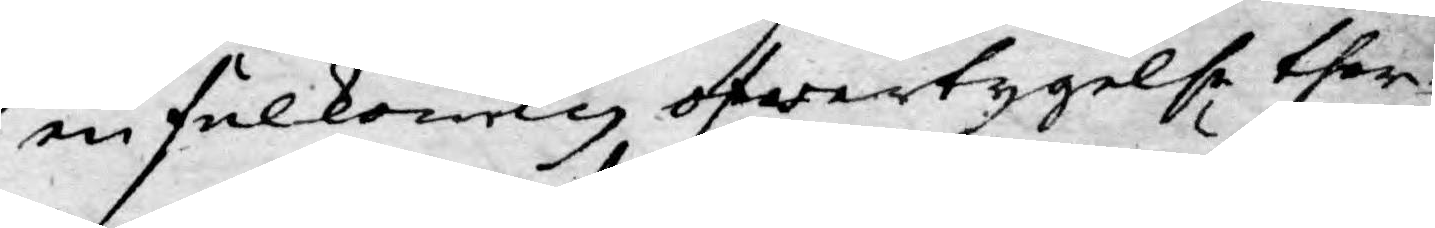en fulkomlg öfwertygelse ther¬
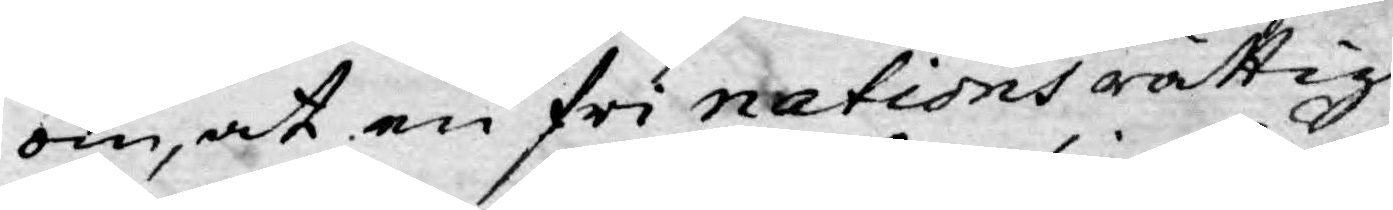om, at en fri nations rättig¬
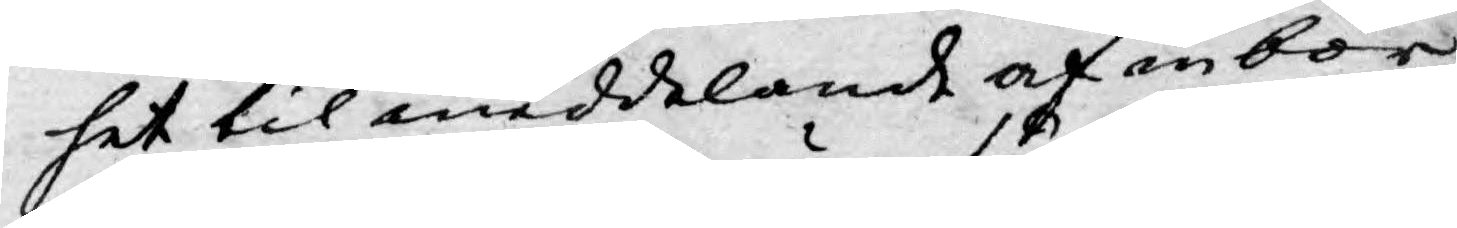het til meddelande af inbör¬
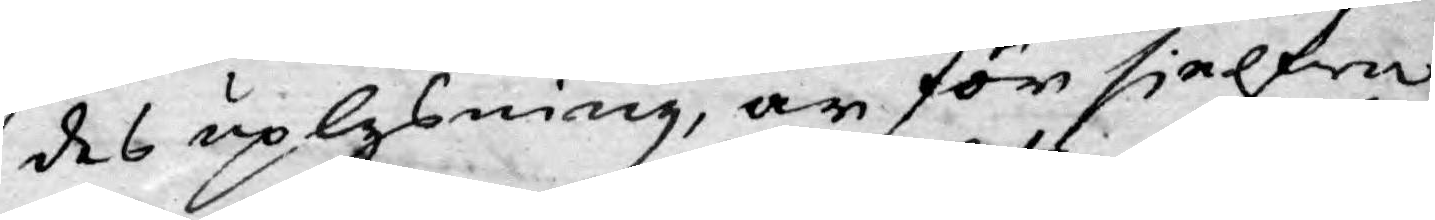des uplysning, är för sielfwa
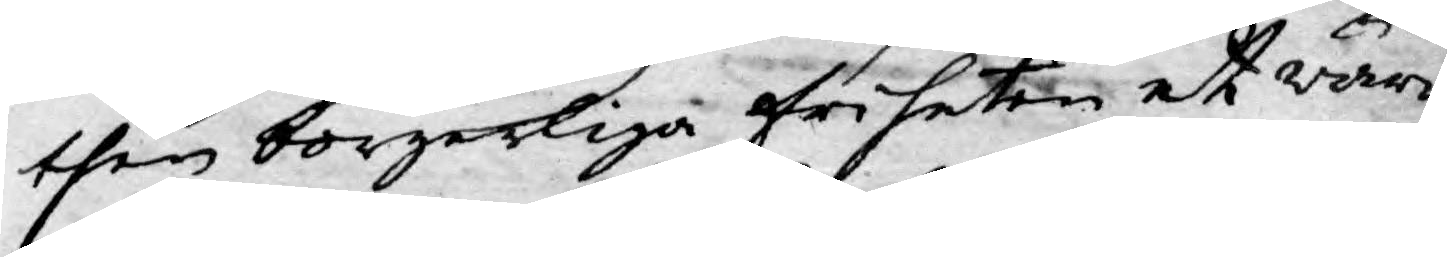then borgerliga friheten et wärn
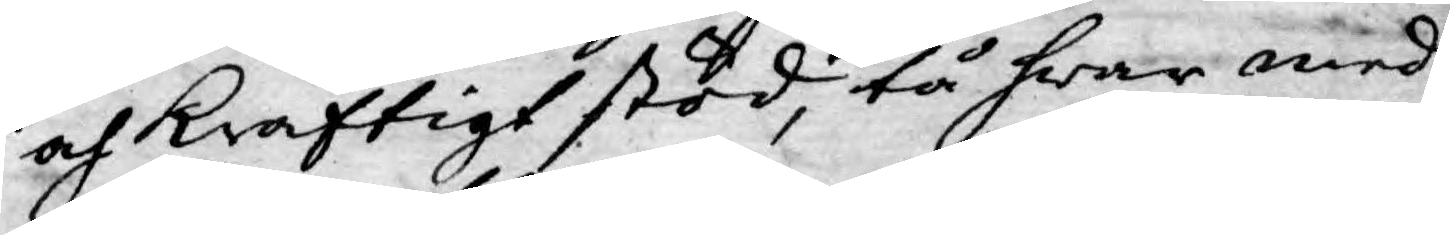och kraftigt stöd, tå hwar med
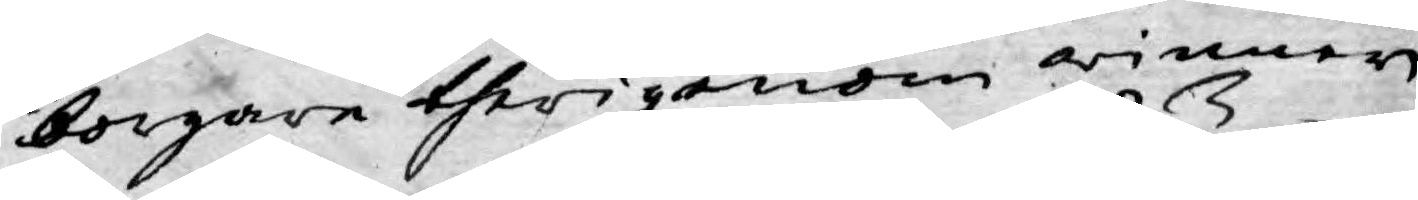borgare therigenom winner
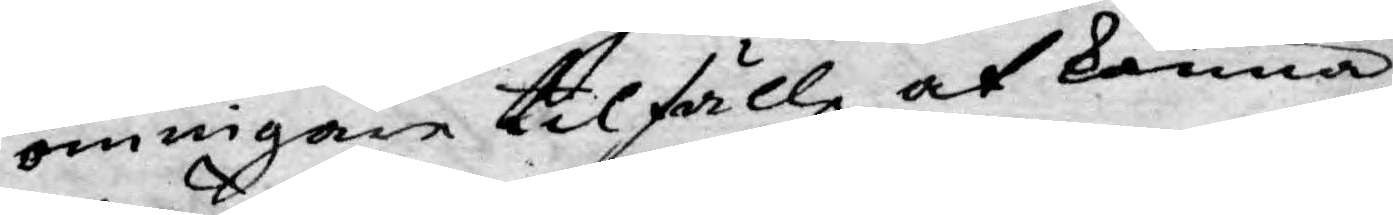ömnigare tilfälle at känna
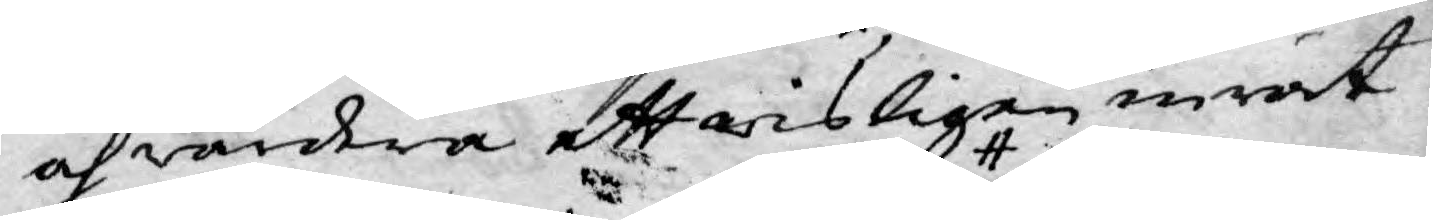och wärdera ett wisligen inrät¬
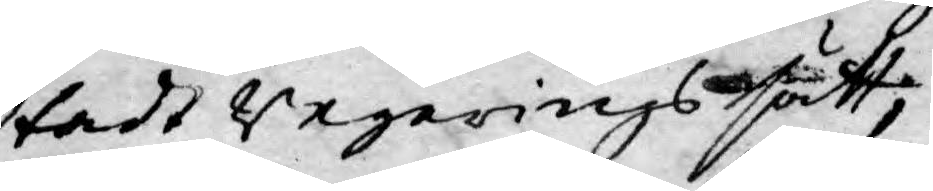tadt Regeringssätt;
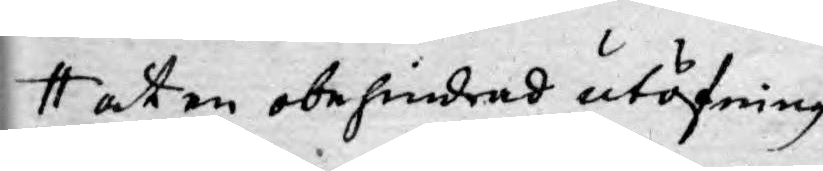at en obehindrad utöfning
